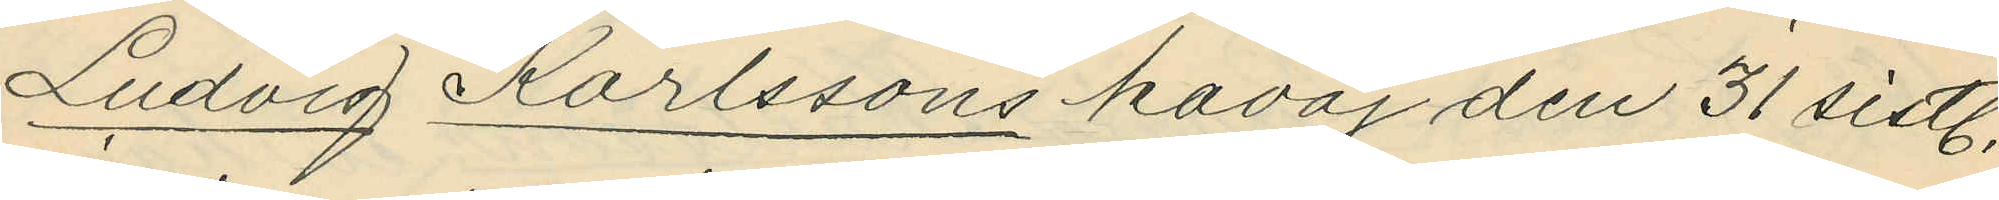Ludvig Karlssons kavaj den 31 sistl.
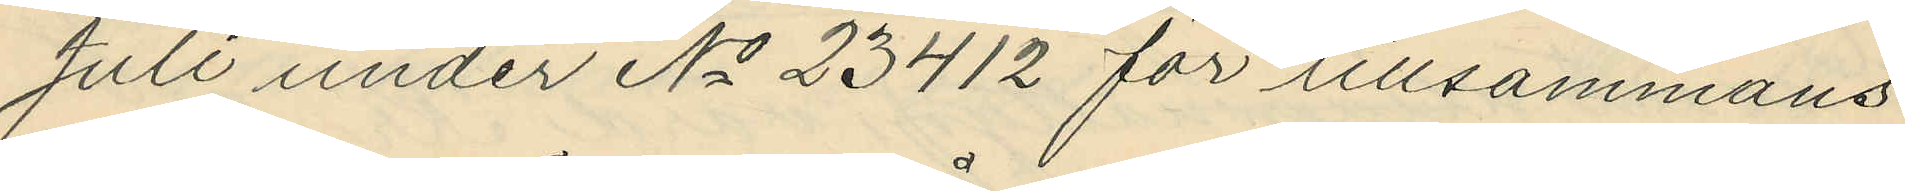Juli under No 23412 för tillsammans
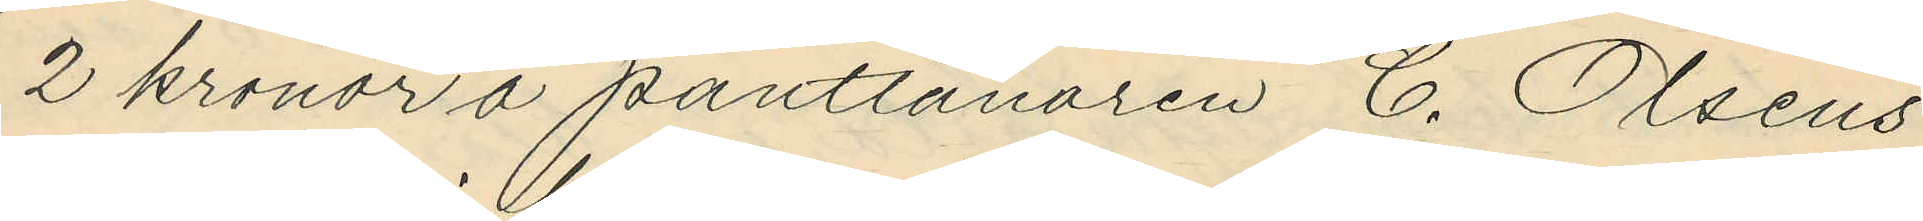2 kronor å pantlånaren C. Olsens
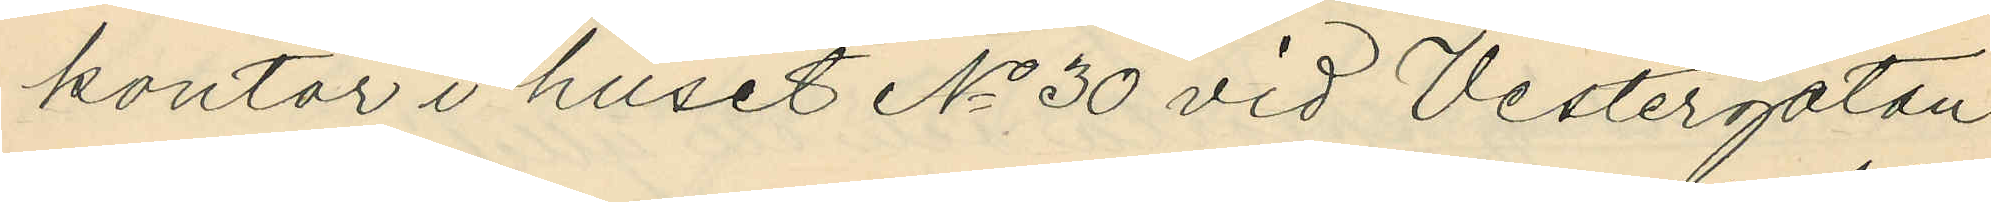kontor i huset No 30 vid Vestergatan
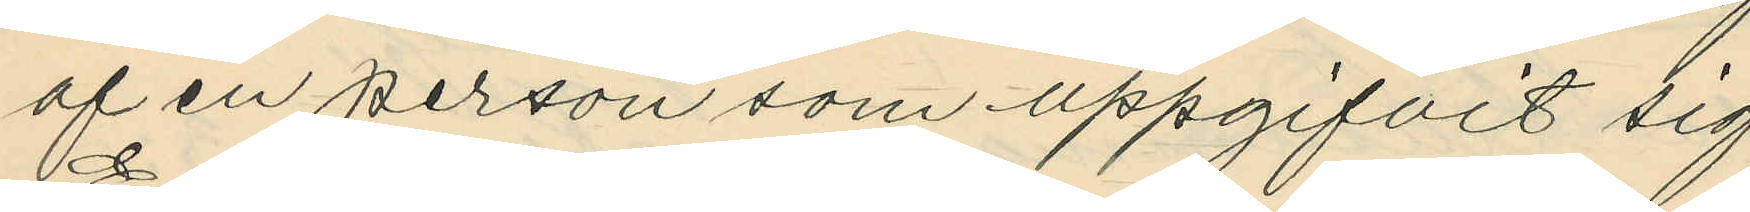af en person som uppgifvit sig
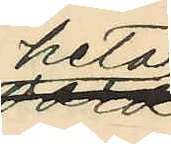heta
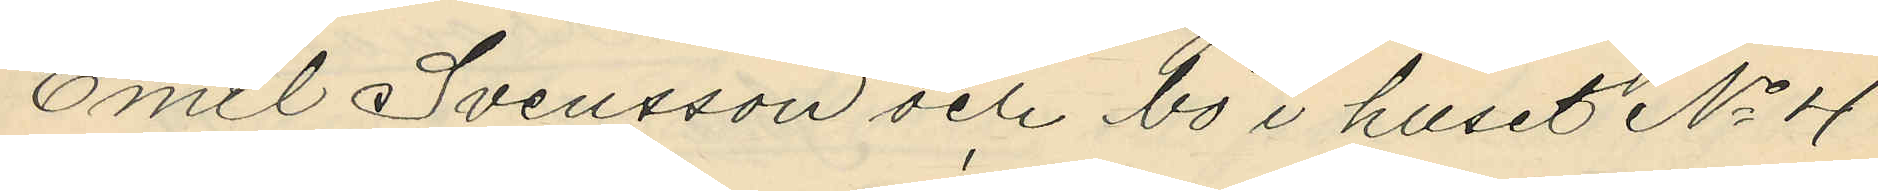Emil Svensson och bo i huset No 4
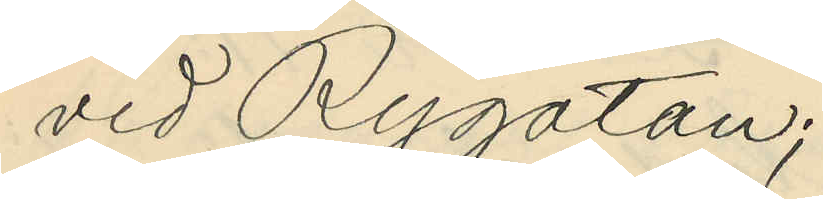vid Rygatan;
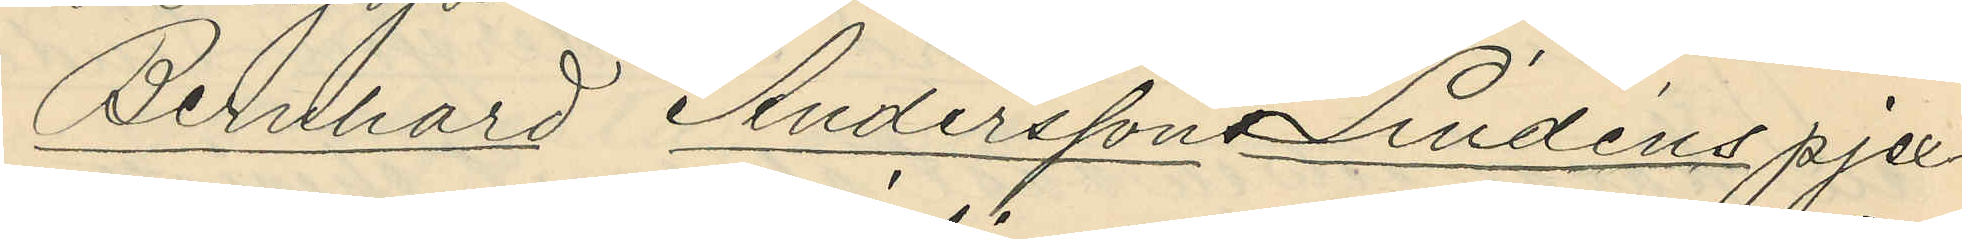Bernhard Anderssons Lindéns pjex¬
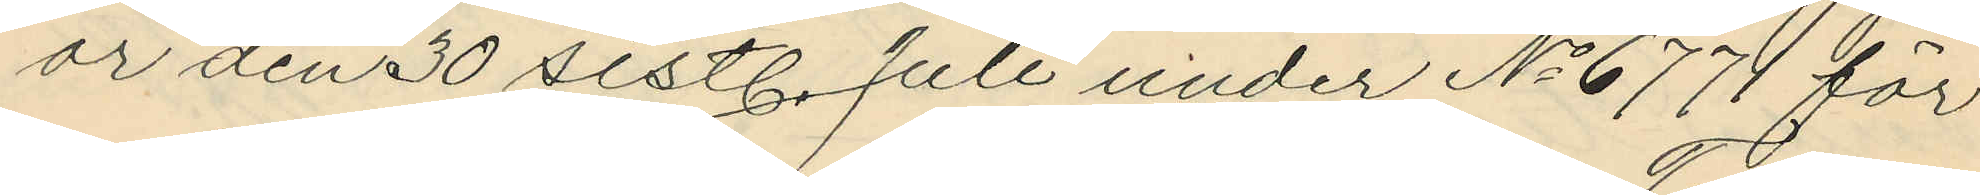or den 30 sistl. Juli under No 6771 för
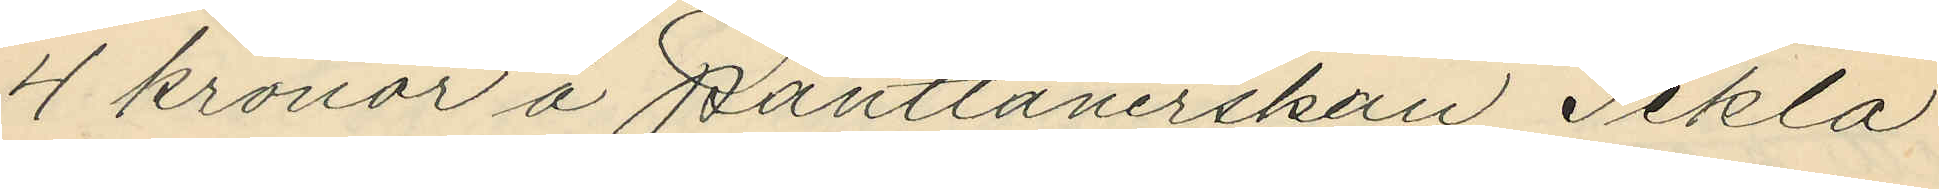4 kronor å pantlånerskan Tekla
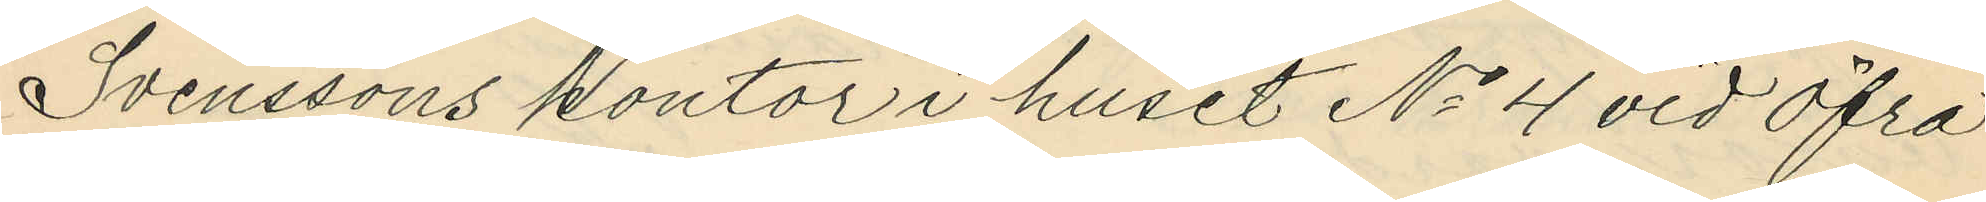Svenssons kontor i huset No 4 vid Öfra
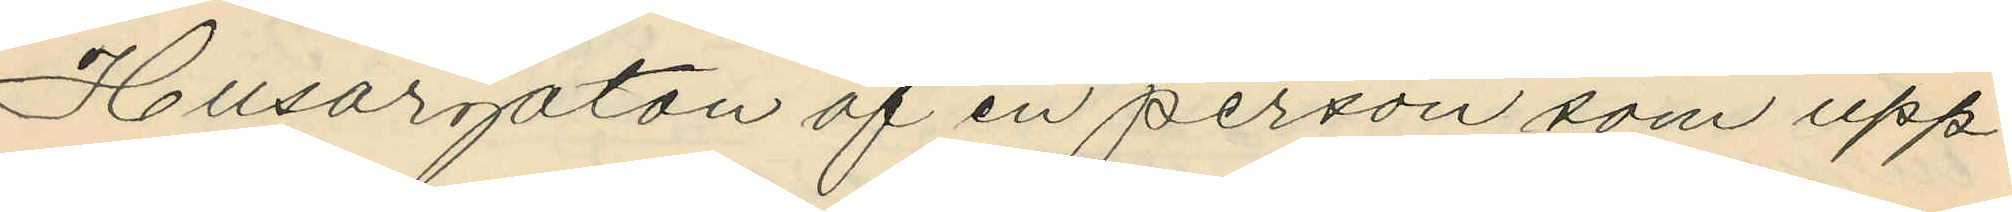Husargatan af en person som upp¬
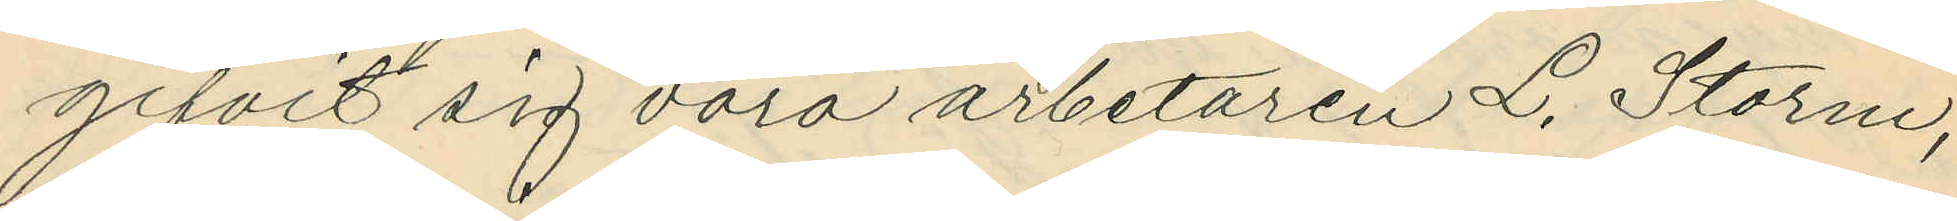gifvit sig vara arbetaren L. Storm,
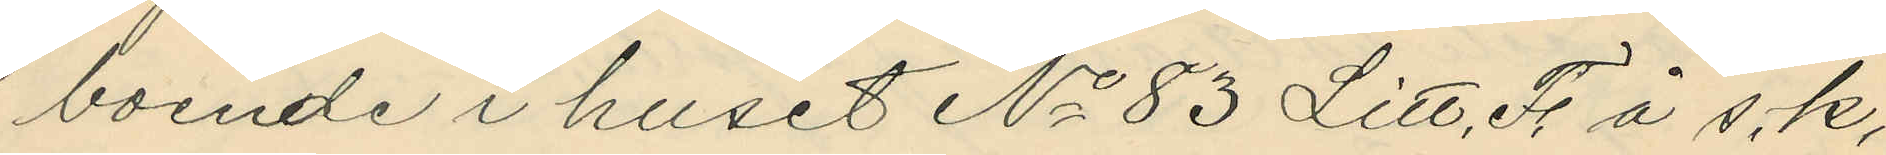boende i huset No 83 Litt. F. å s.k.
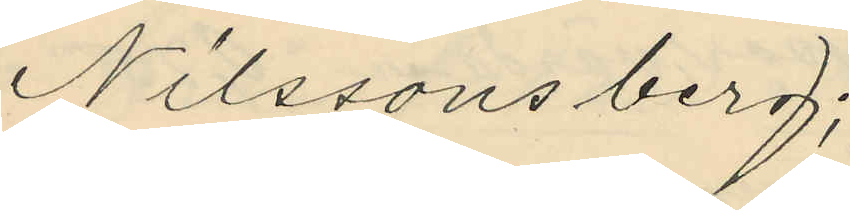Nilssons berg;
